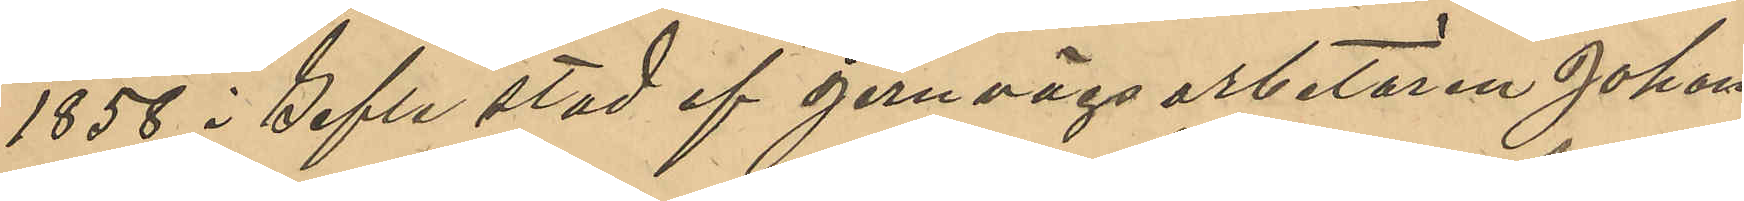1858 i Gefle stad af jervägsarbetaren Johan
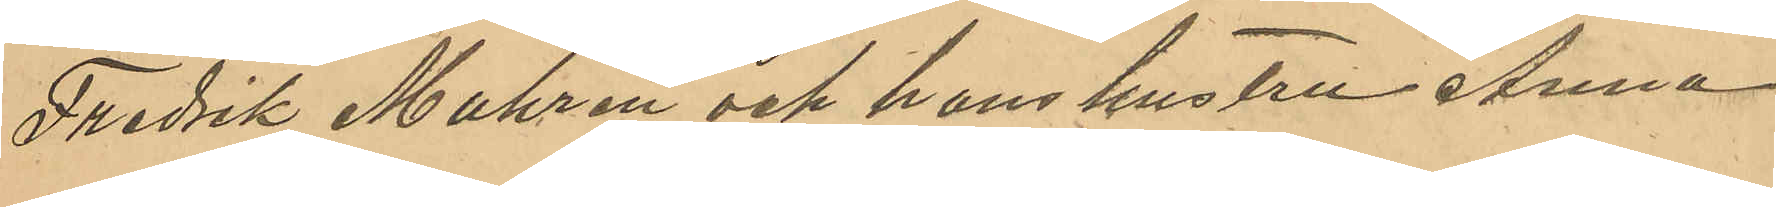Fredrik Muhren och hans hustru Anna
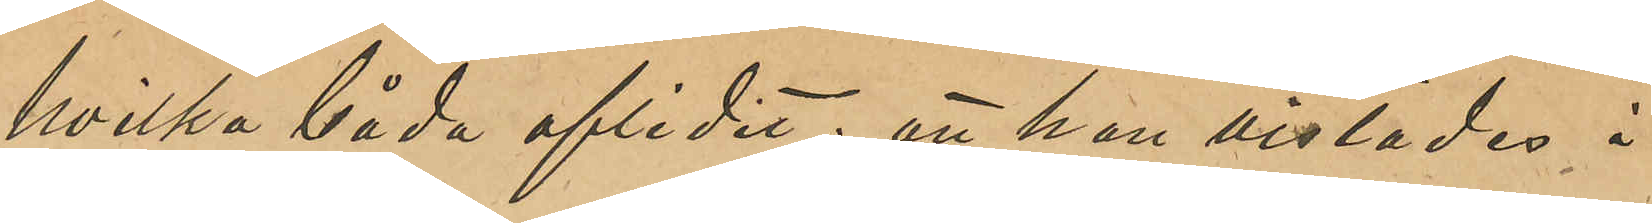hvilka båda aflidit; att han vistades i
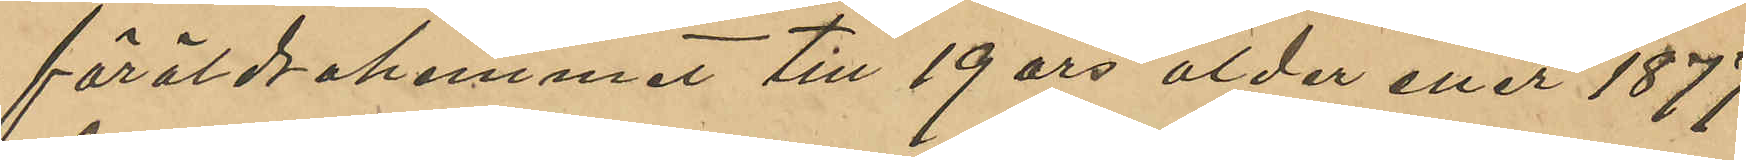föräldrahemmet till 19 års ålder eller 1877
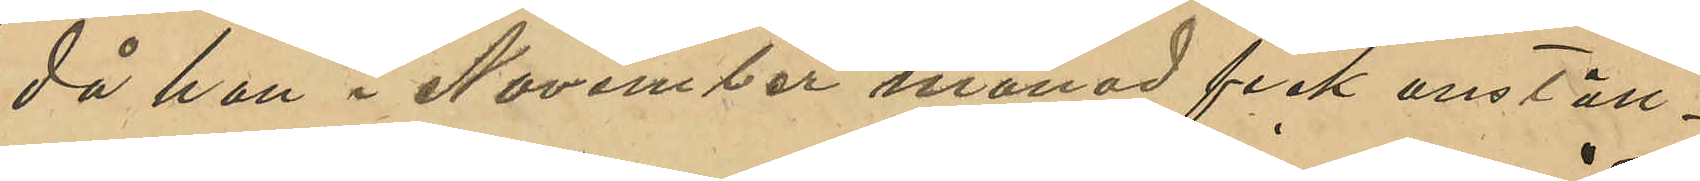då han i November månad fick anställ¬
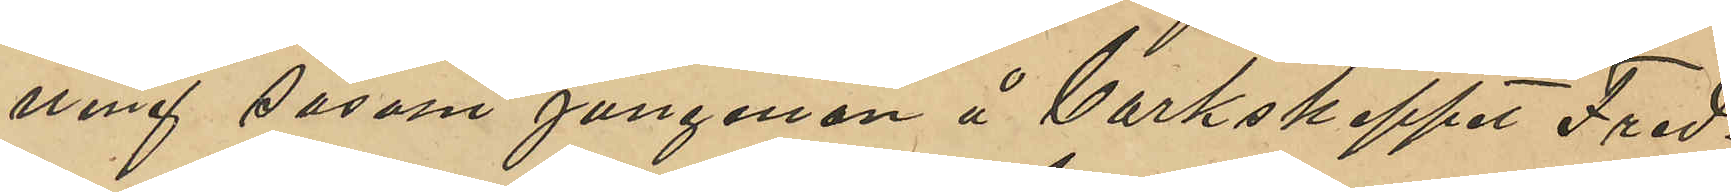ning såsom jungman å Barkskeppet "Fred¬
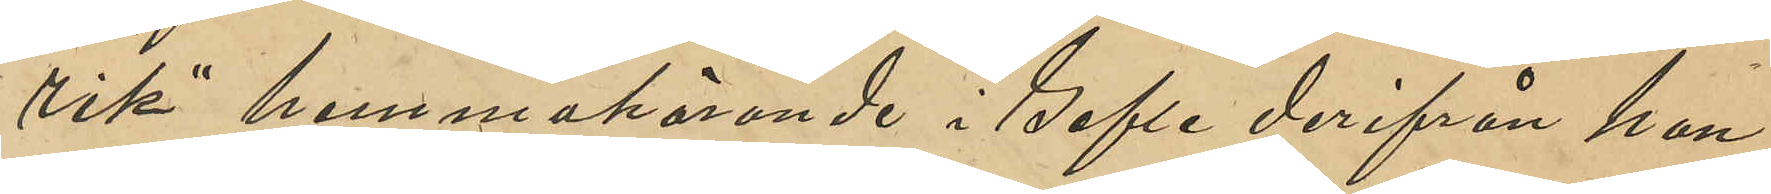rik" hemmahörande i Gefle derifrån han
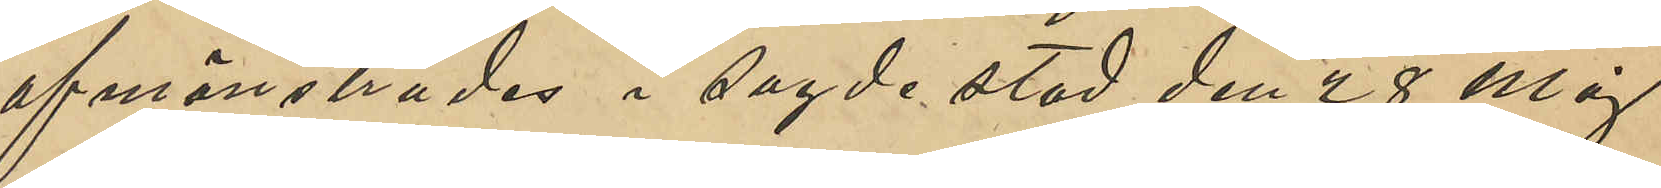afmönstrades i sagde stad den 28 Maj
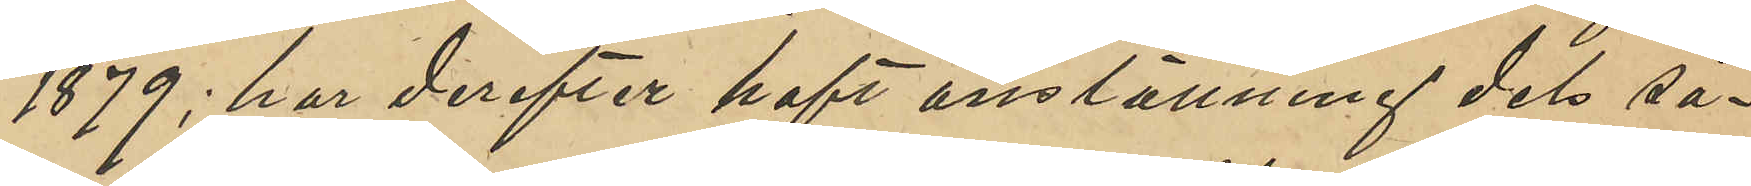1879; har derefter haft anställning dels så¬
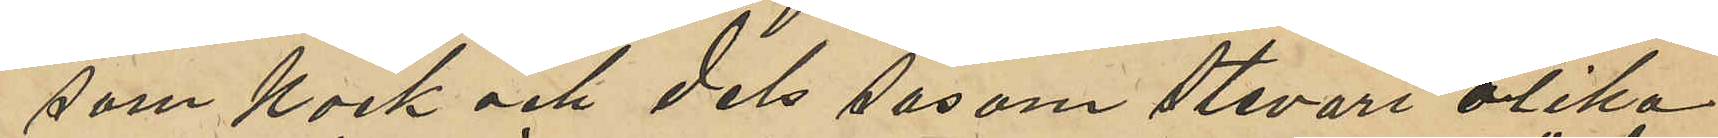som kock och dels såsom stewart olika
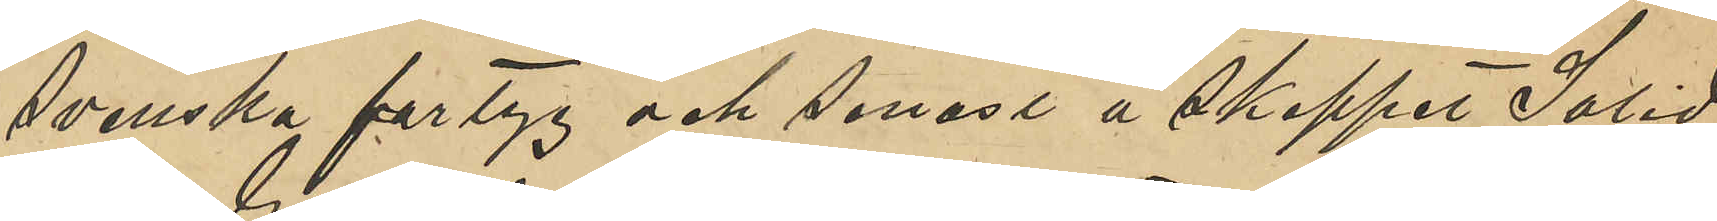svenska fartyg och senast å skeppet "Solid"
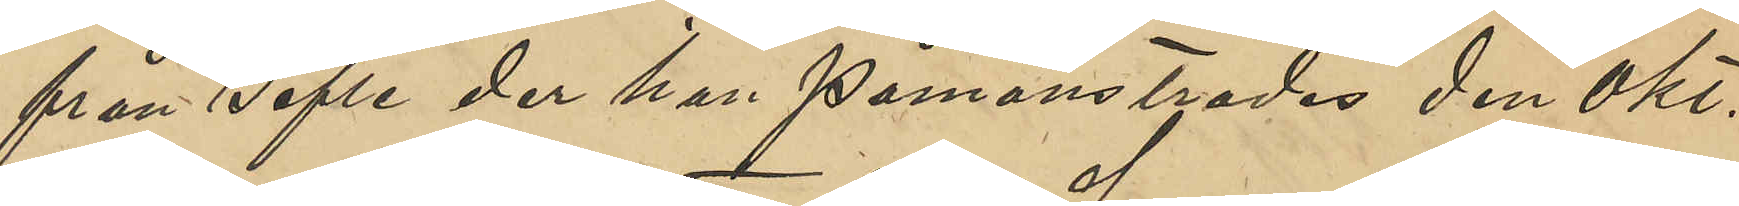från Gefle der han påmönstrades den okt.
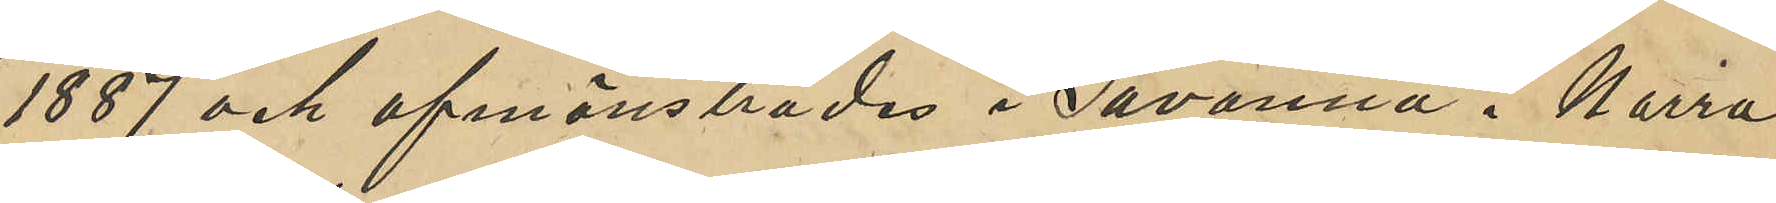1887 och afmönstrades i Savanna i Norra
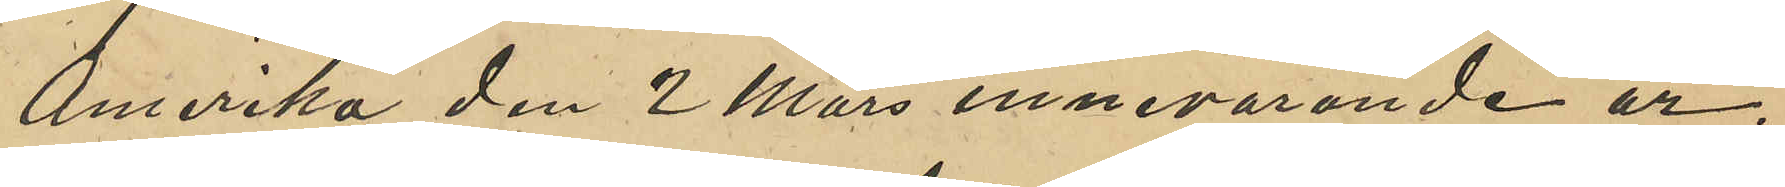Amerika den 2 Mars innevarande år;
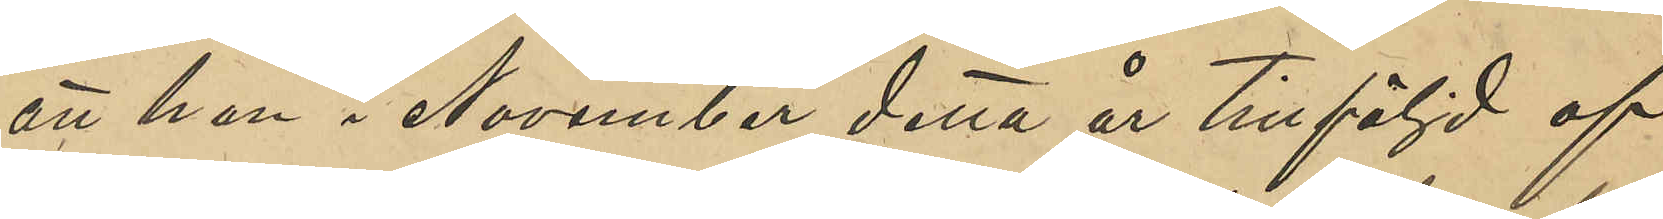att han i November detta år tillföljd af
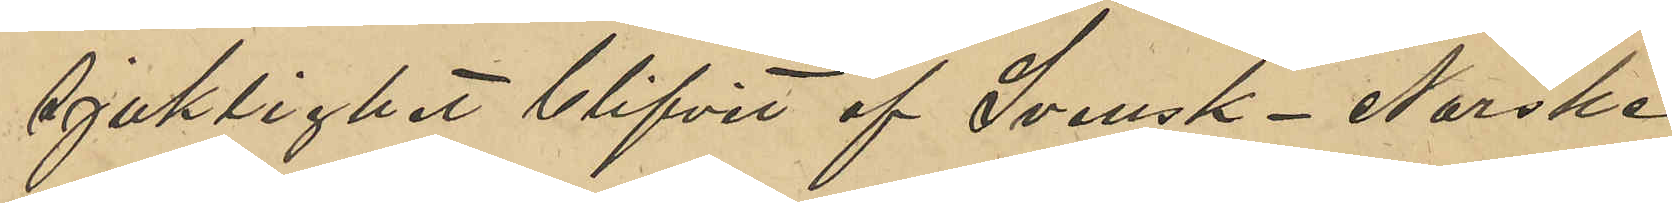sjuklighet blifvit af Svensk-Norske
